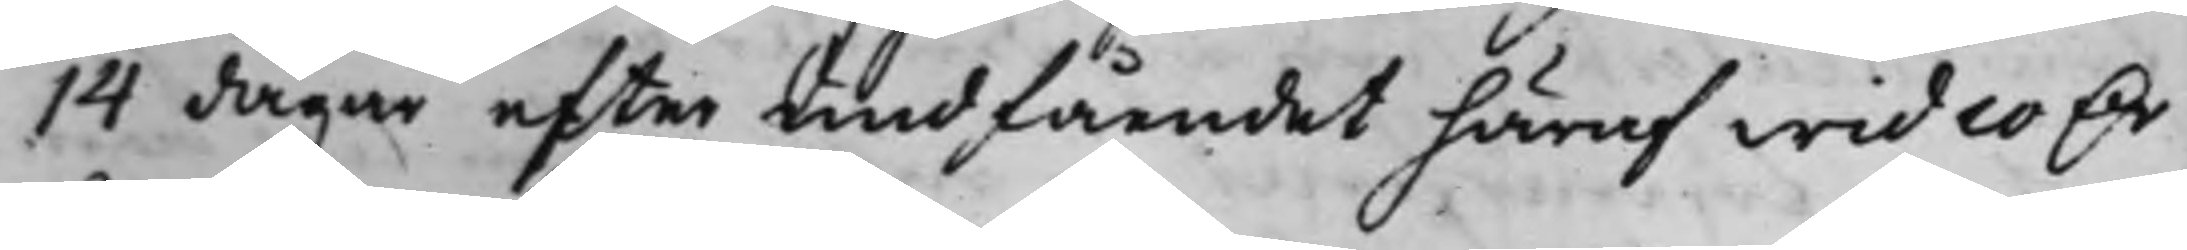14 dagar efter undfåendet häraf wid 10 D.r
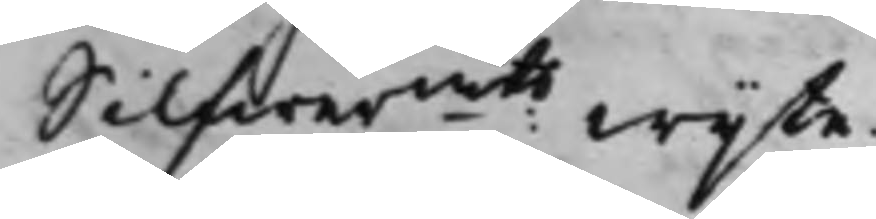Silfwermts wijte.
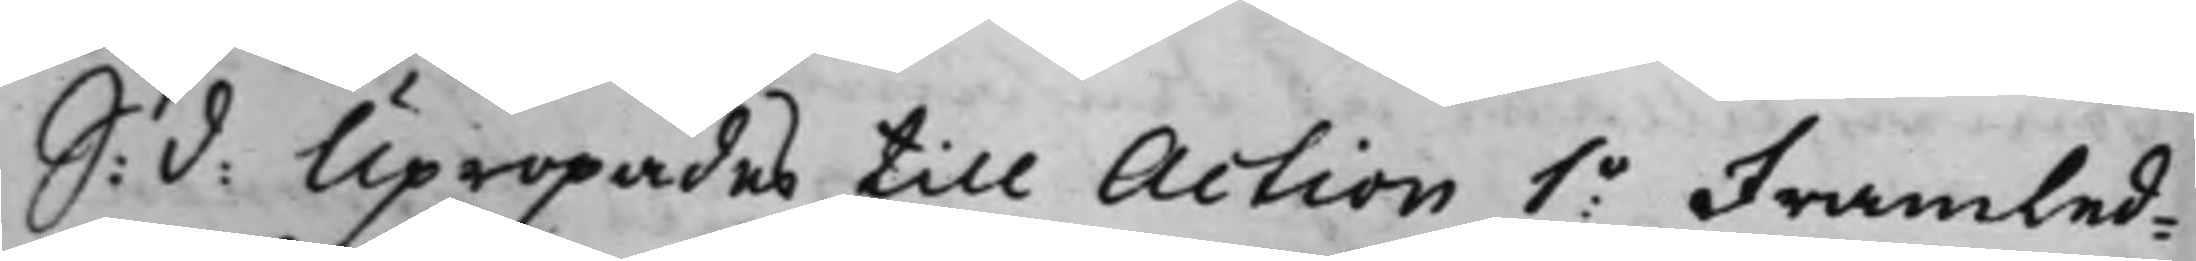S: d: Upropades till Action 1o Framled¬
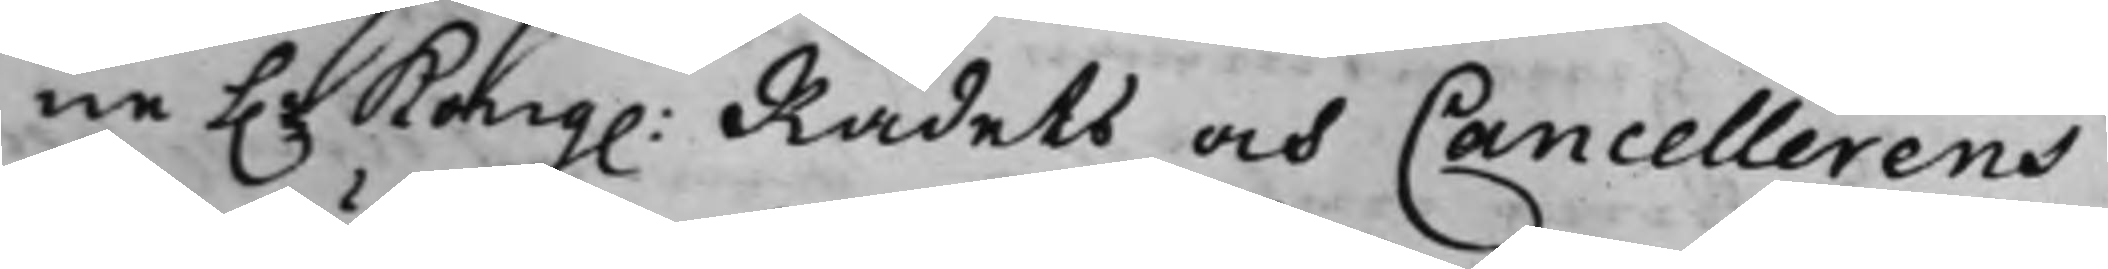ne h.r Kong: Rådets och Cancellerens
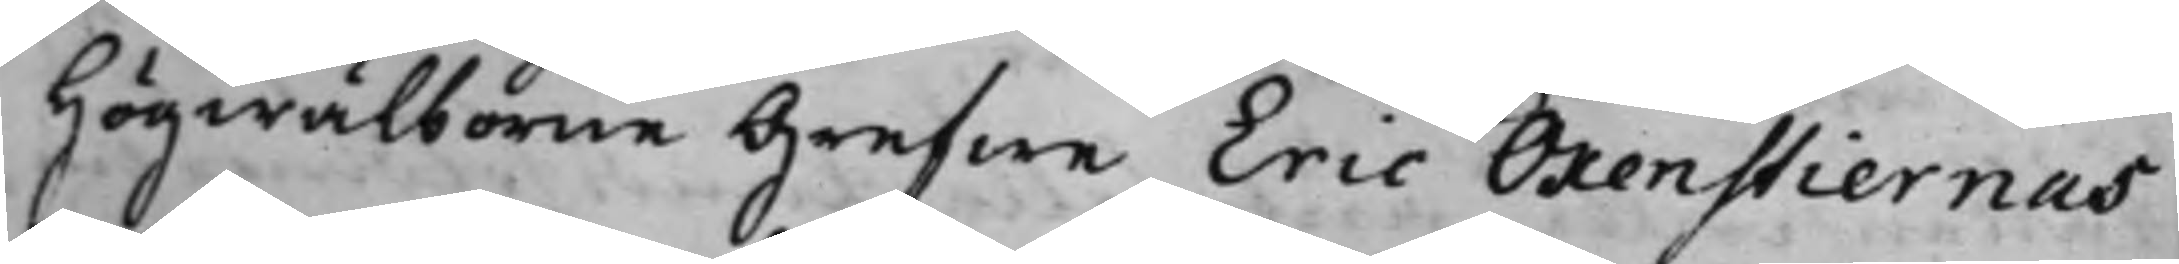Högwälborne Grefwe Eric Oxenstiernas
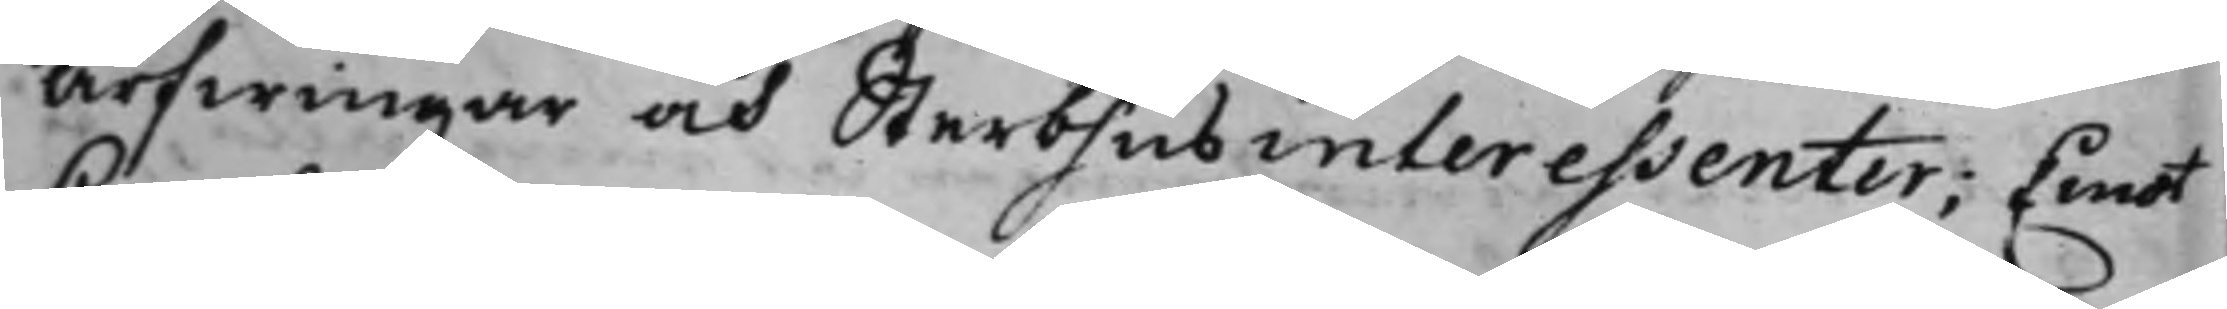Arfwingar och Sterbhusinteressenter; Emot
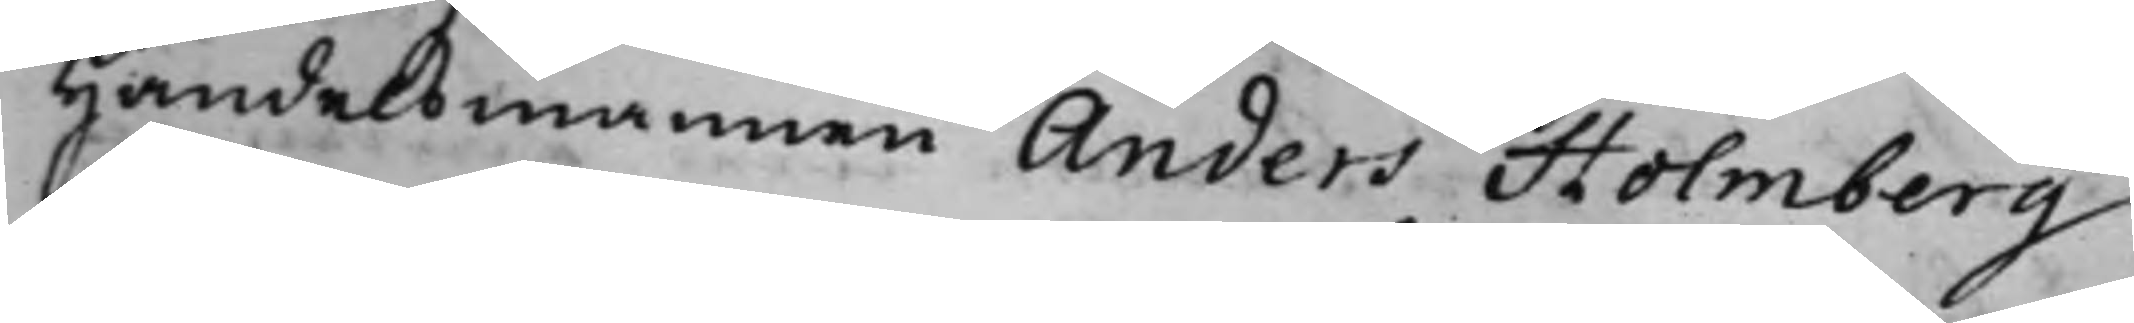Handelsmannen Anders Holmberg
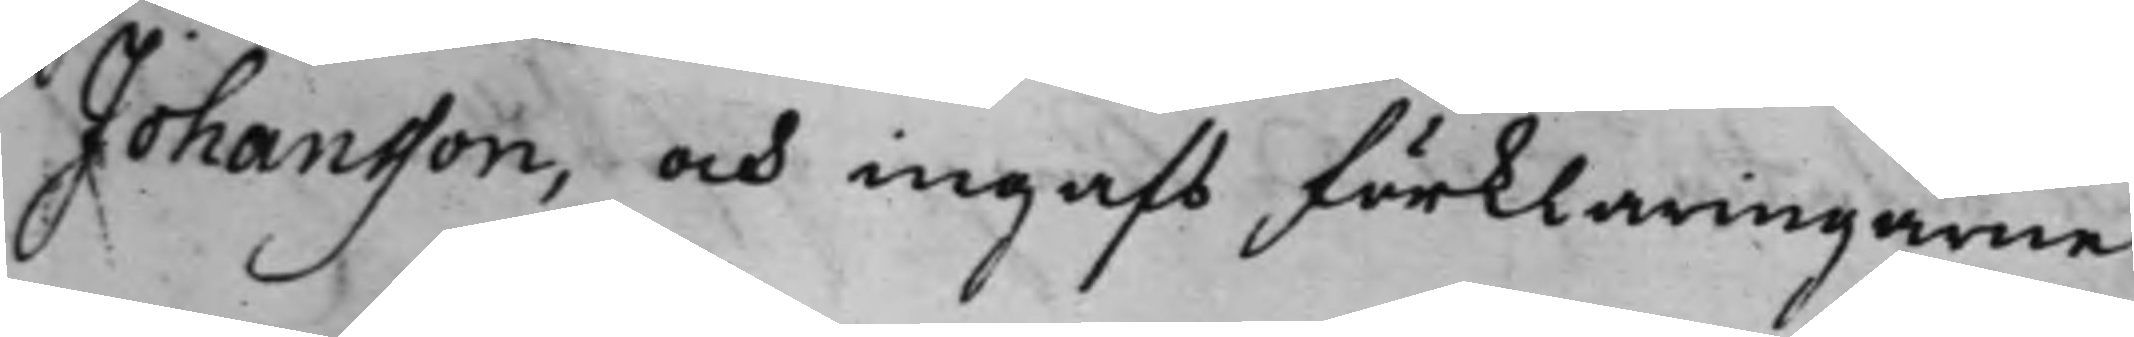Johansson, och ingafs förklaringarne
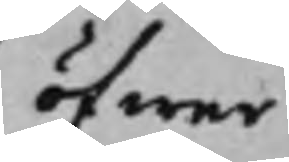öfwer
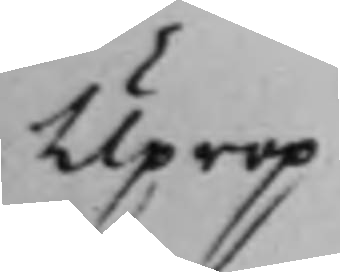Uprop
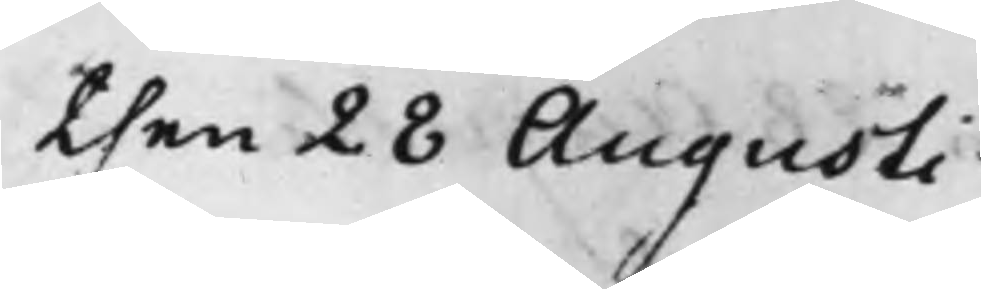then 28 Augusti
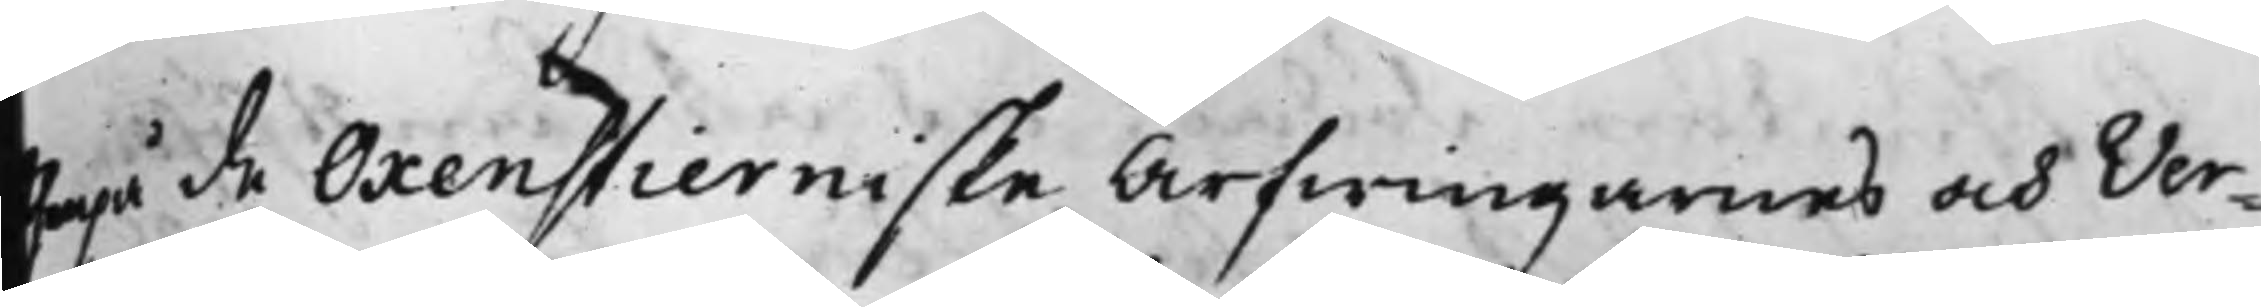erpå de Oxenstierniske Arfwingarnes och Ver¬
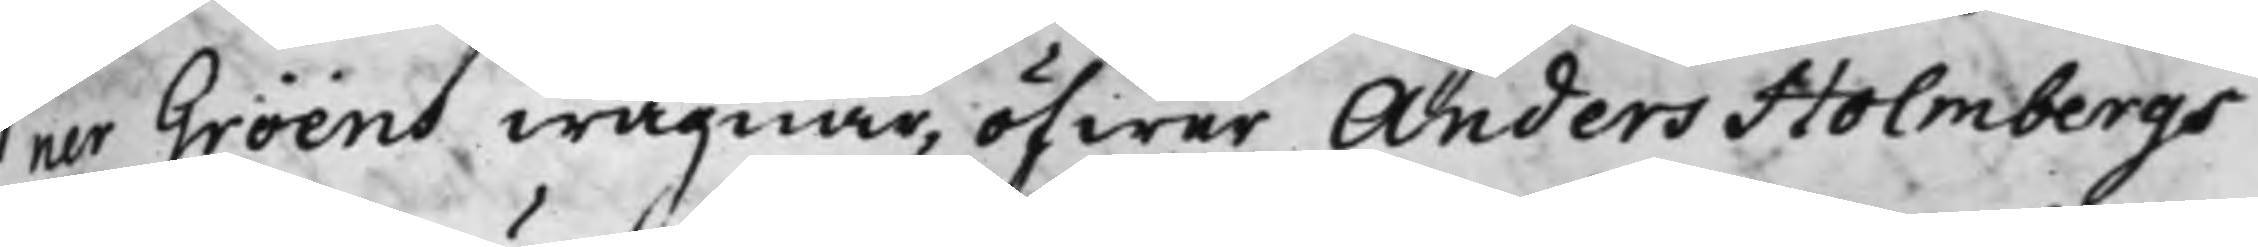ner Gröens wägnar, öfwer Anders Holmbergs
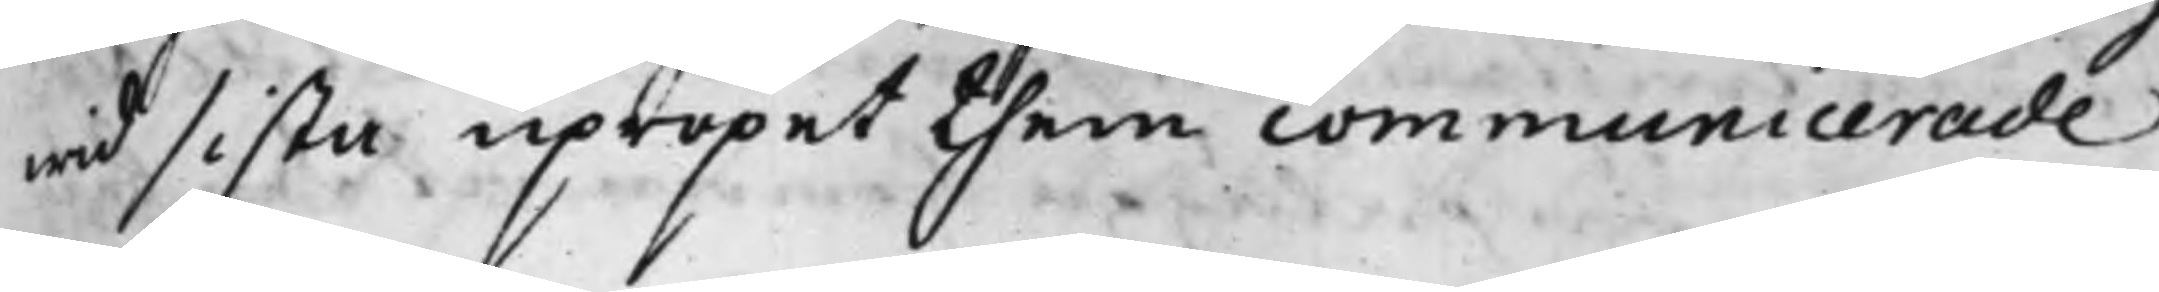wid sista upropet them communicerade
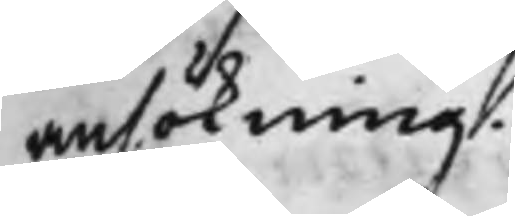ansökning.
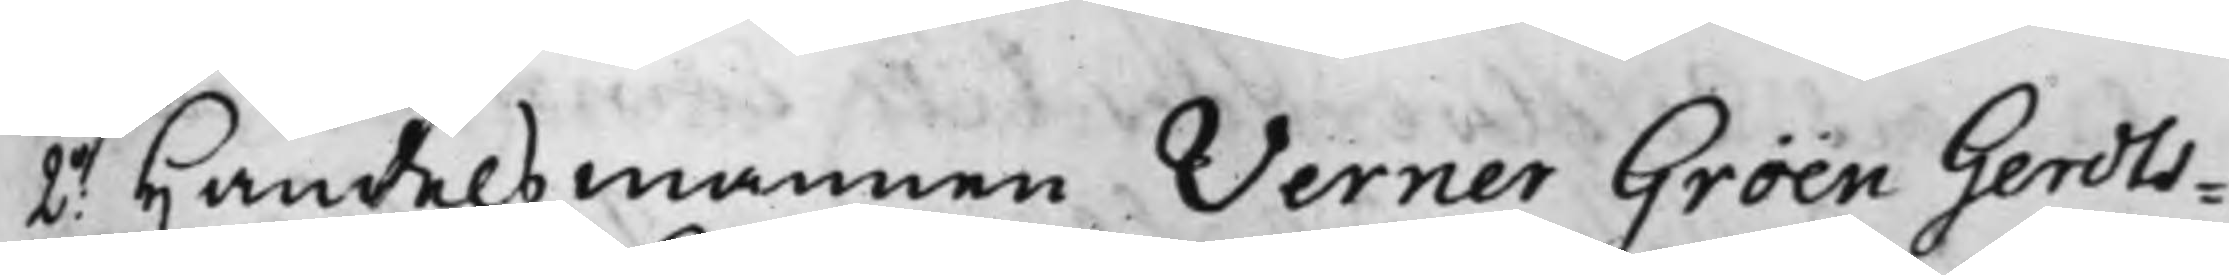2o Handelsmannen Werner Gröen Gerdts¬
